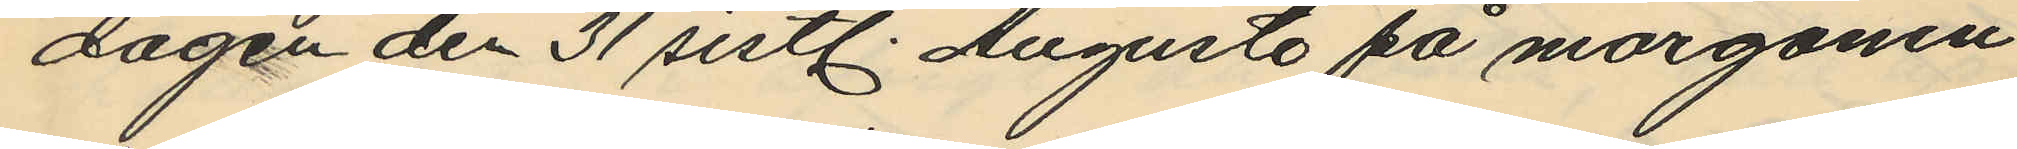dagen den 31 sistl. Augusti på morgonen
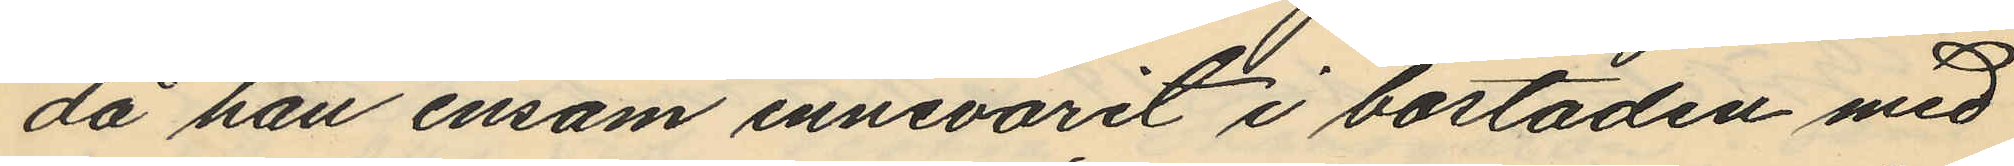då han ensam innevarit i bostaden med
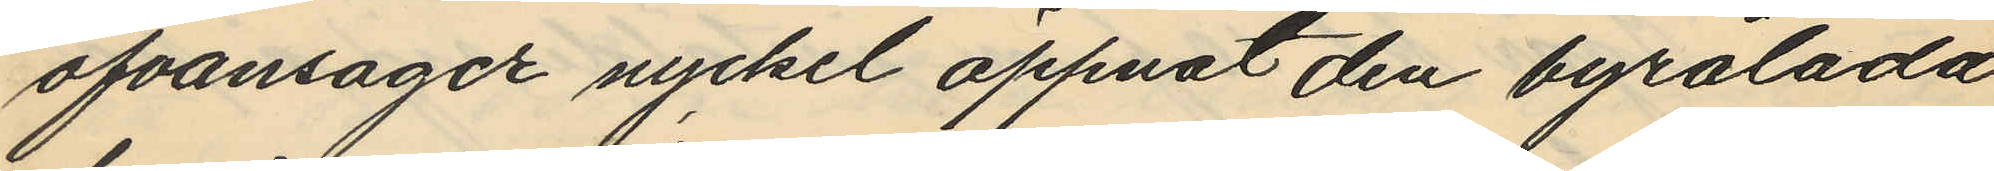ofvansagde nyckel öppnat den byrålåda
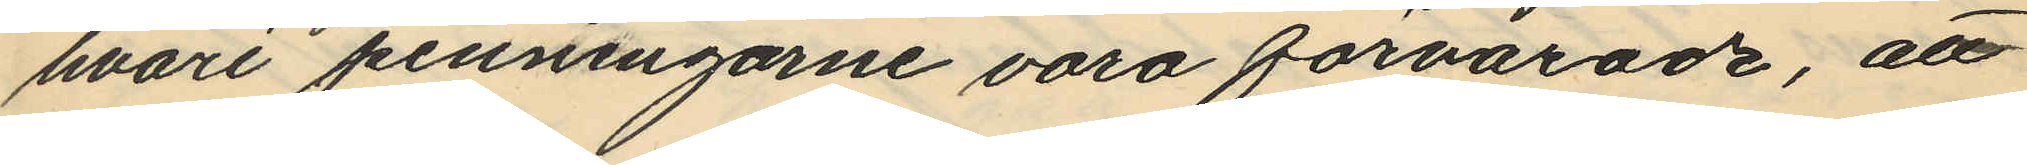hvari penningarne voro förvarade, att
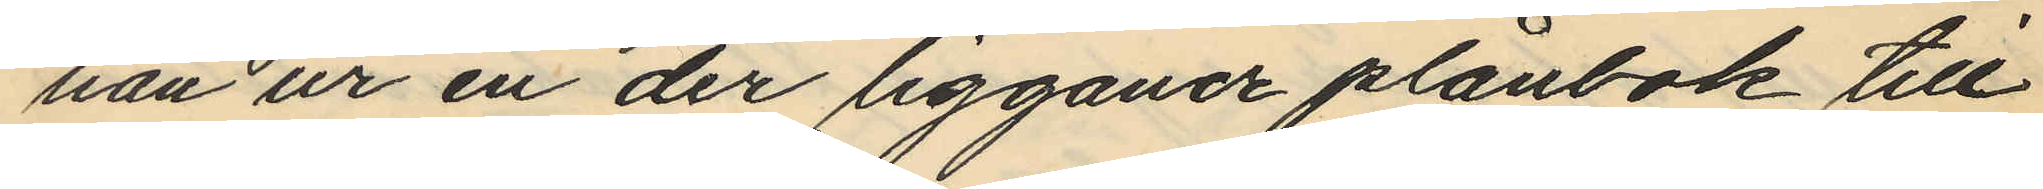han ur en der liggande plånbok till
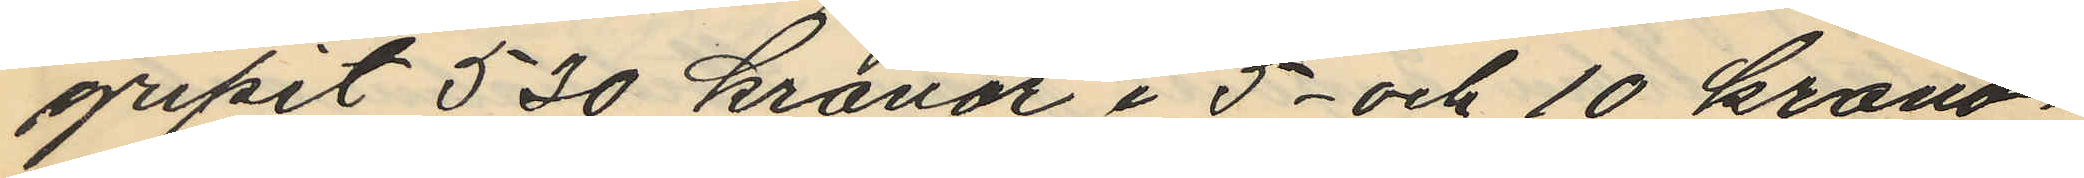gripit 530 kronor i 5- och 10 krono¬
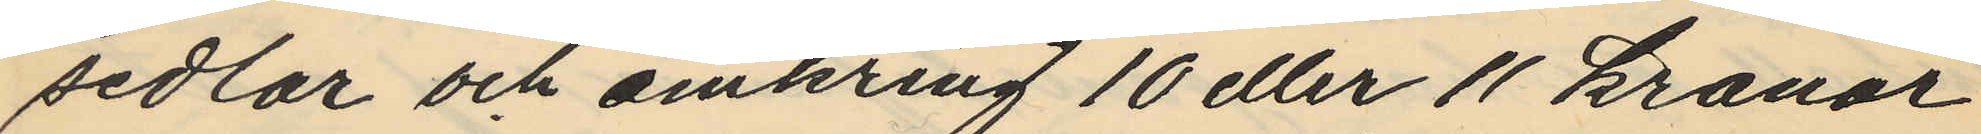sedlar och omkring 10 eller 11 kronor
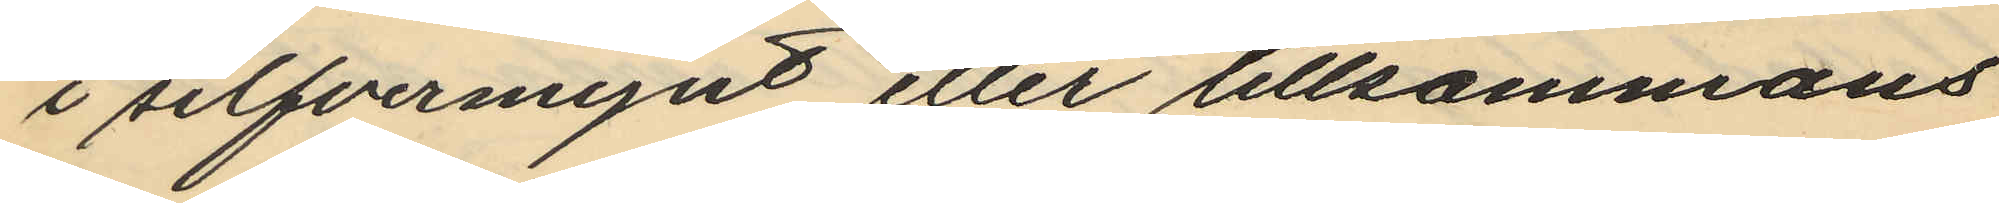i silfvermynt eller tillsammans
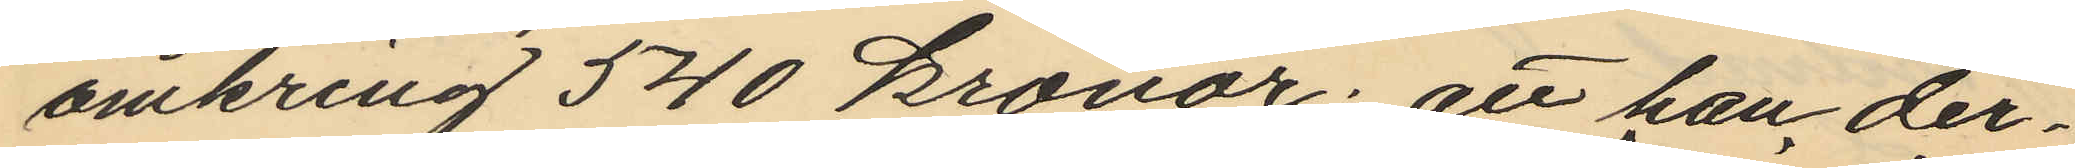omkring 540 kronor; att han der¬
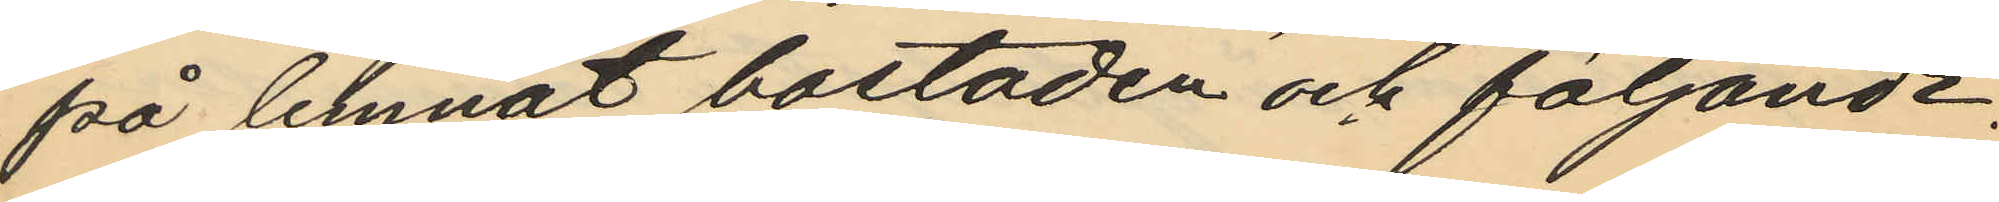på lemnat bostaden och följande
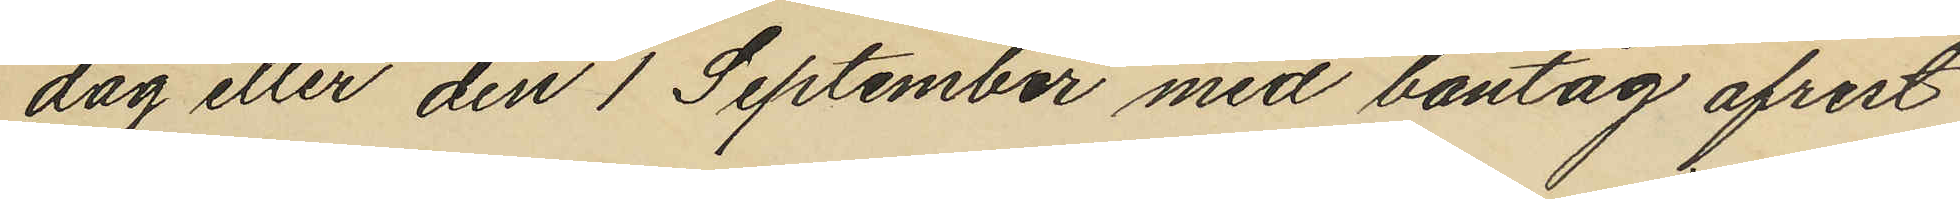dag eller den 1 September med bantåg afrest
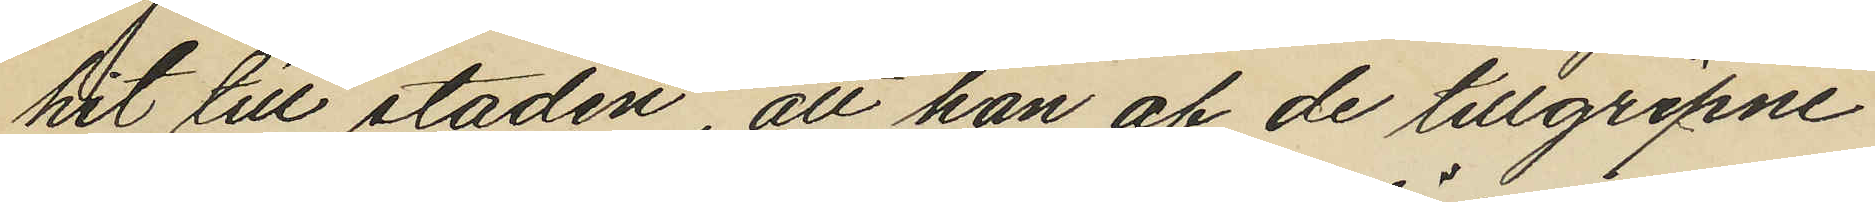hit till staden, att han af de tillgripne
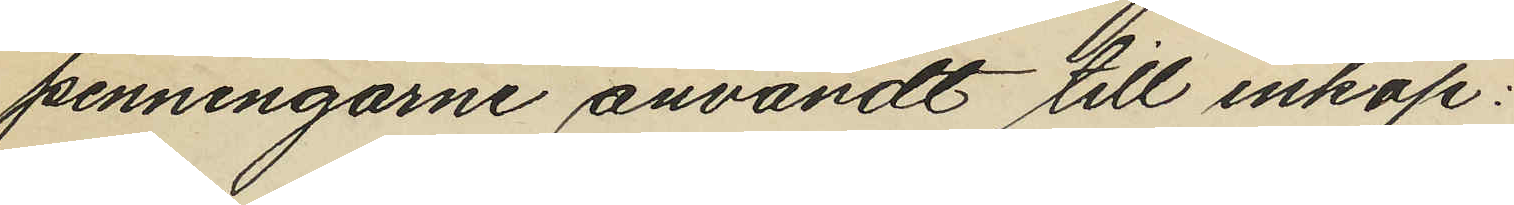penningarne användt till inköp:
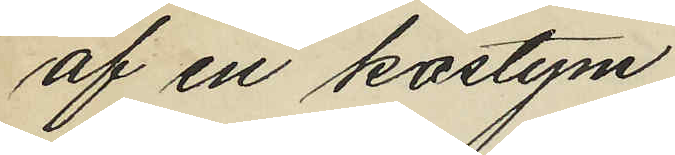af en kostym
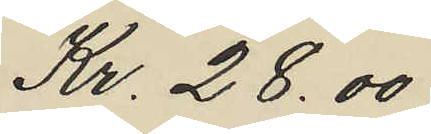Kr. 28.00
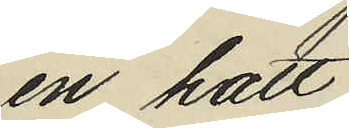en hatt
